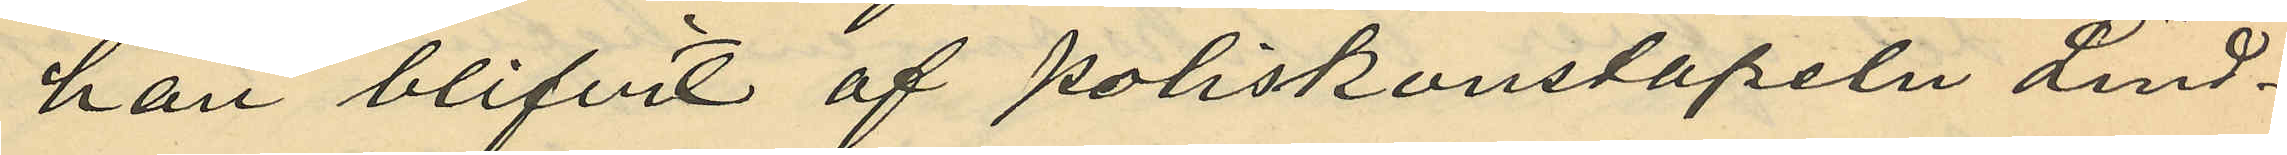han blifvit af poliskonstapeln Lind¬
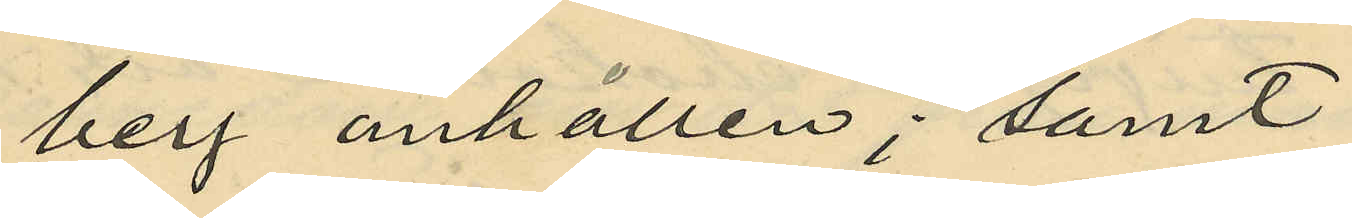berg anhållen; samt
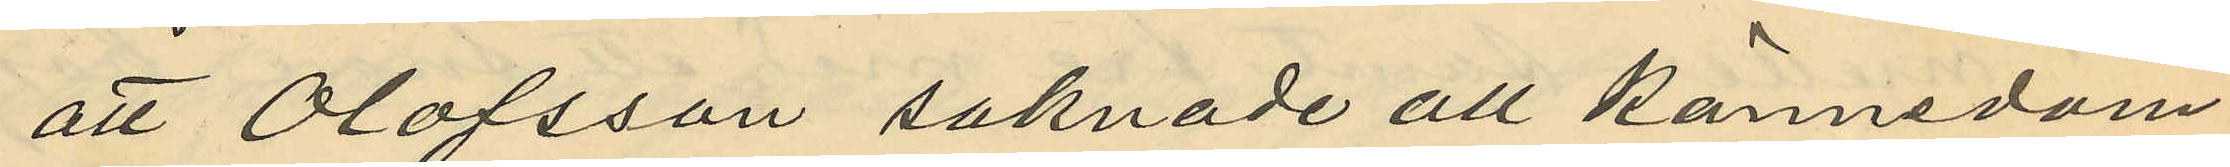att Olofsson saknade all kännedom
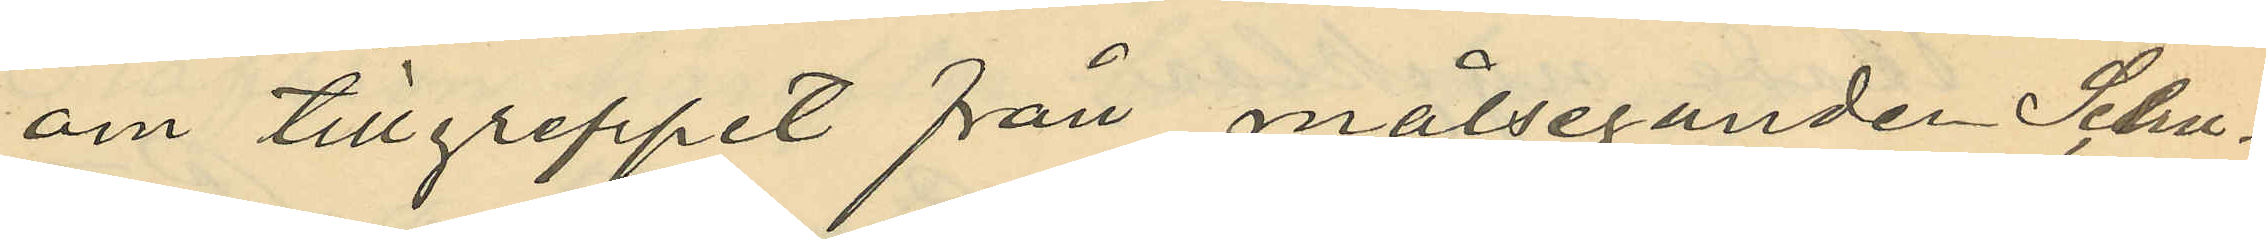om tillgreppet från målseganden Schu¬
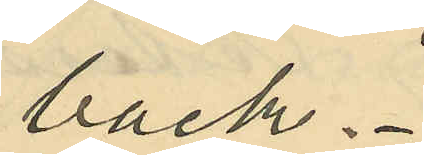back.
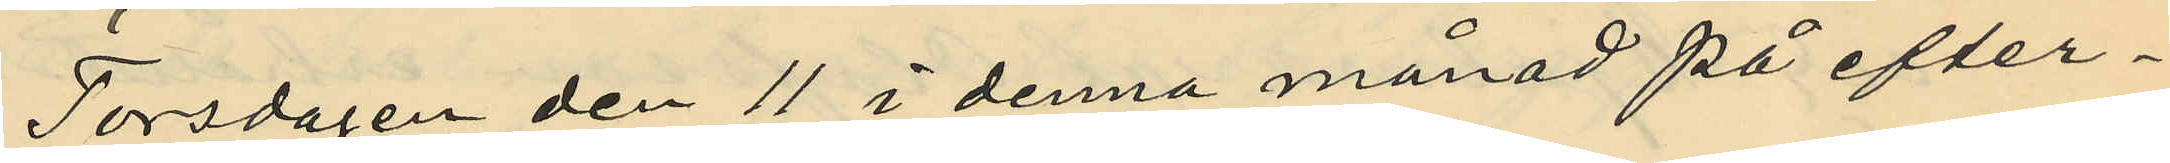Torsdagen den 11 i denna månad på efter¬
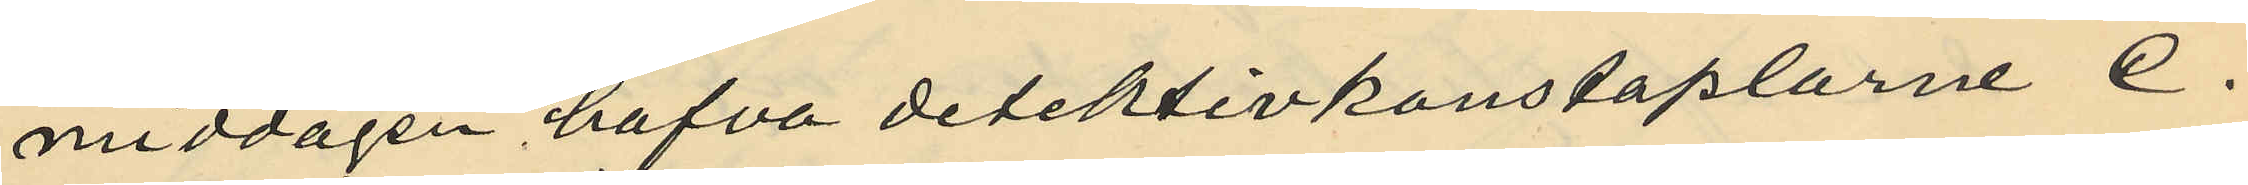middagen hafva detektivkonstaplarne C.
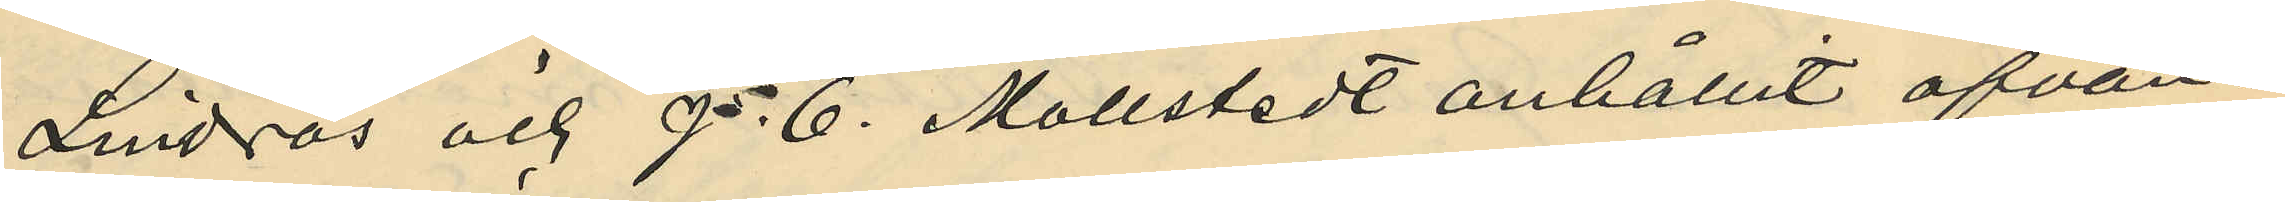Lindros och P. E. Mollstedt anhållit ofvan¬
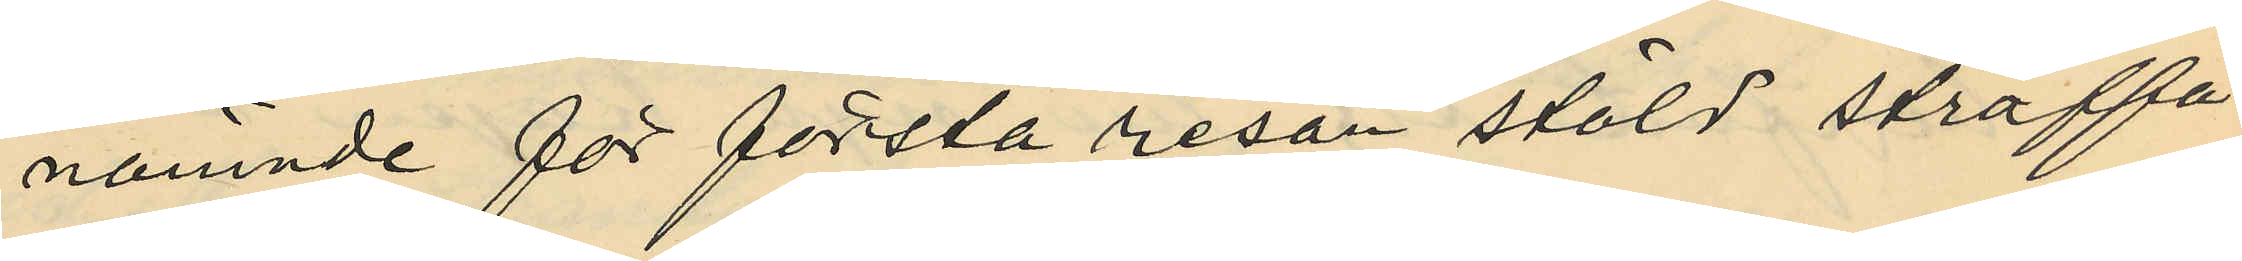nämnde för första resan stöld straffa¬
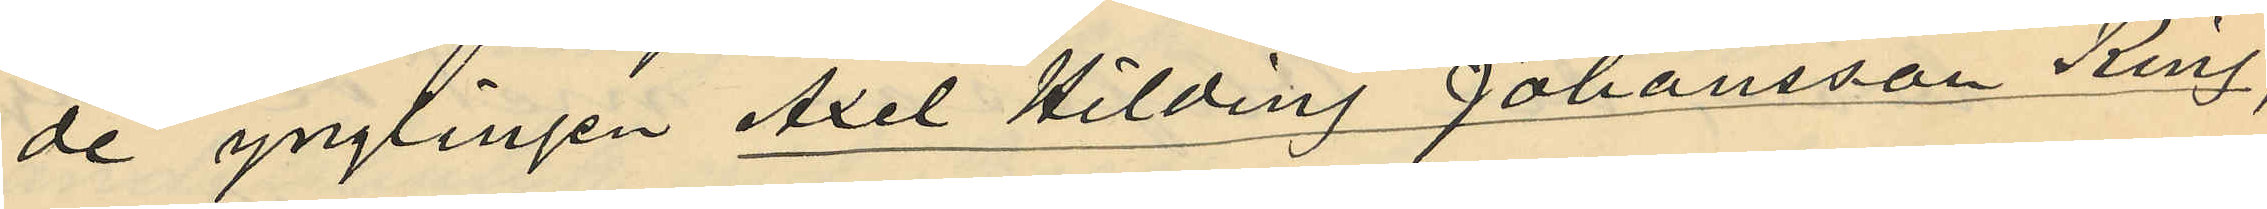de ynglingen Axel Hilding Johansson Ring,
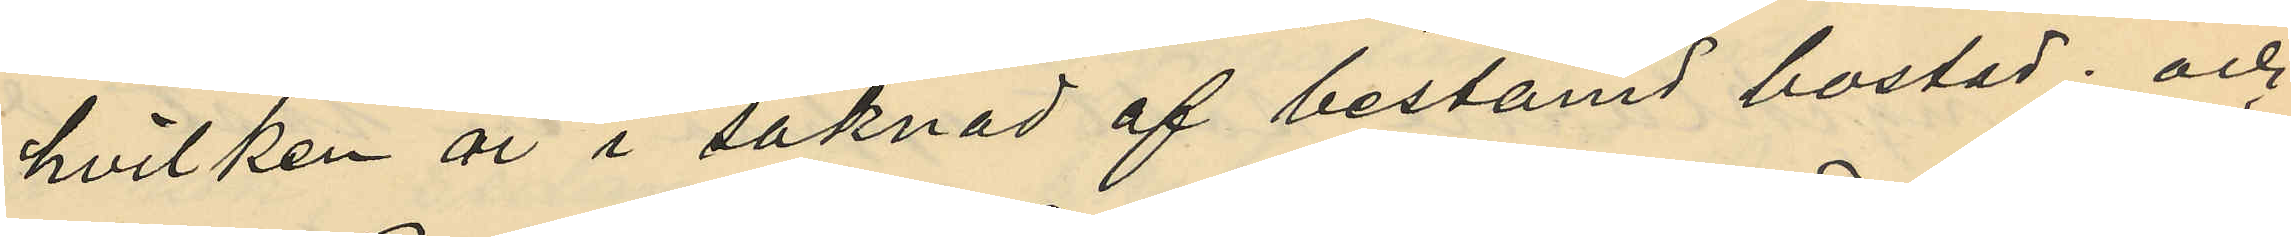hvilken är i saknad af bestämd bostad; och
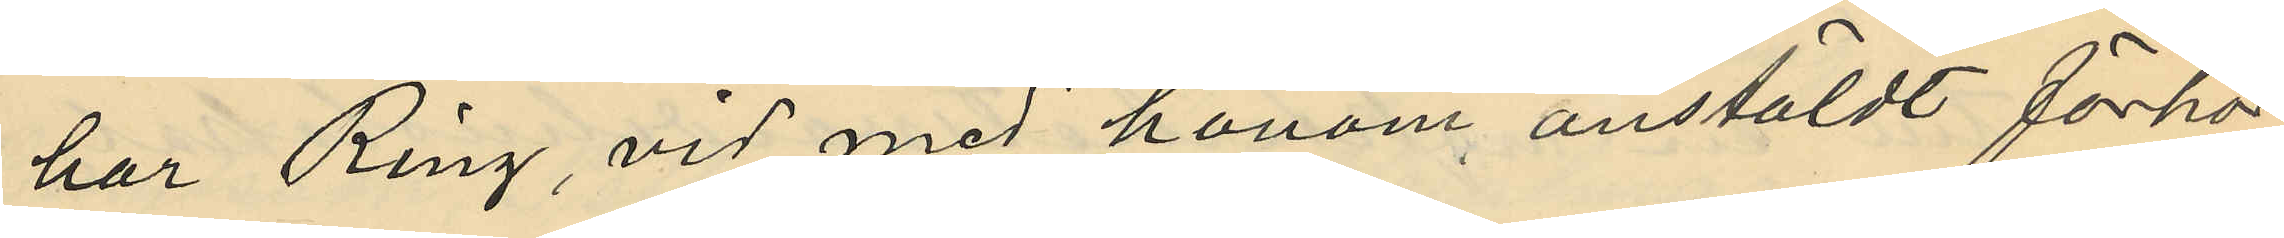har Ring, vid med honom anstäldt förhör
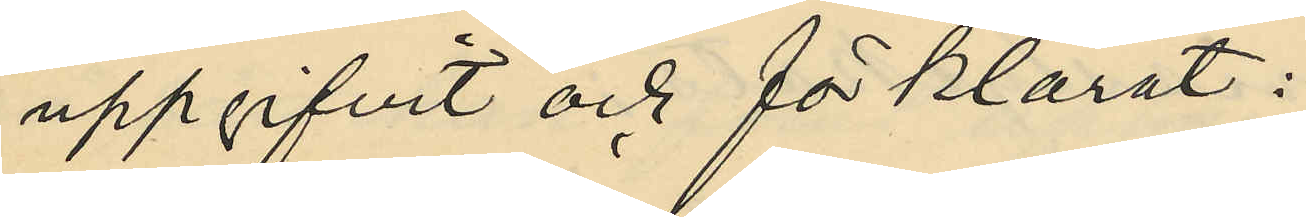uppgifvit och förklarat:
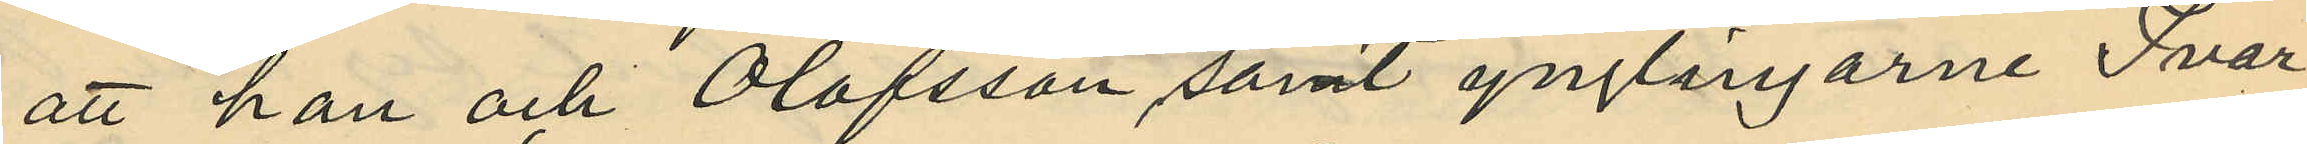att han och Olofsson samt ynglingarne Ivar
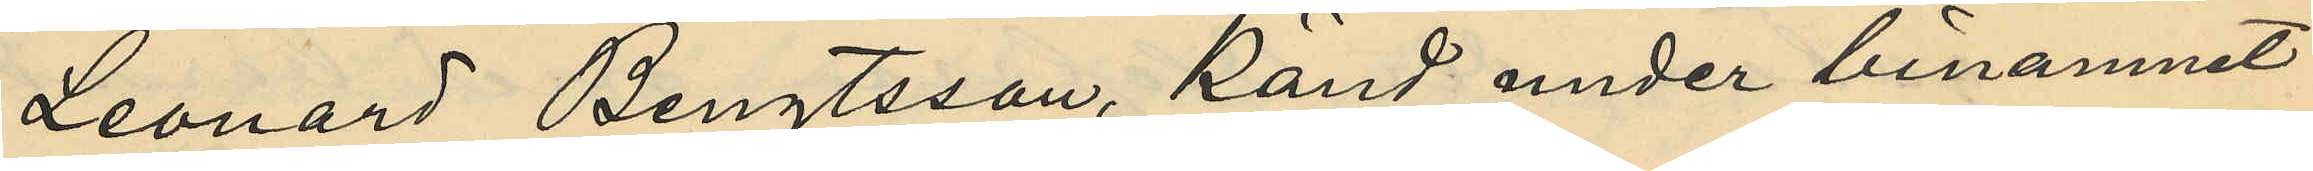Leonard Bengtsson, känd under binamnet
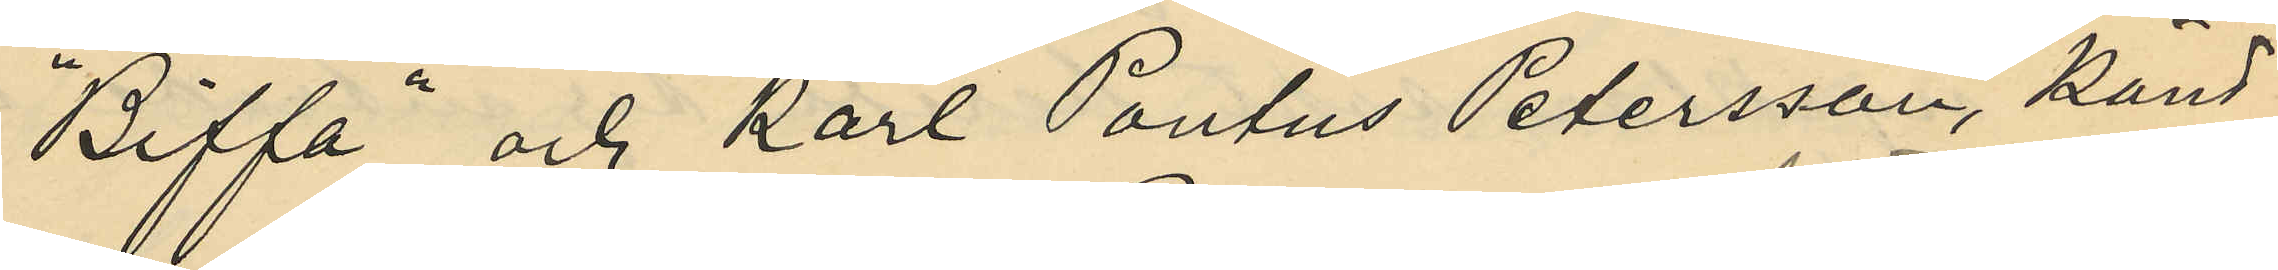"Biffa" och Karl Paulus Petersson, känd
